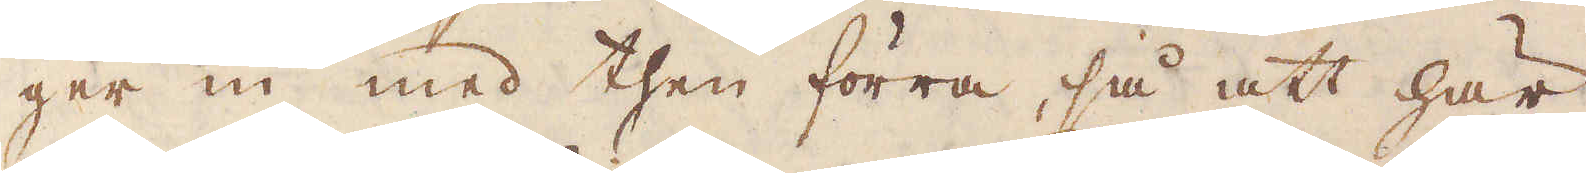ger in med then förra, så att här
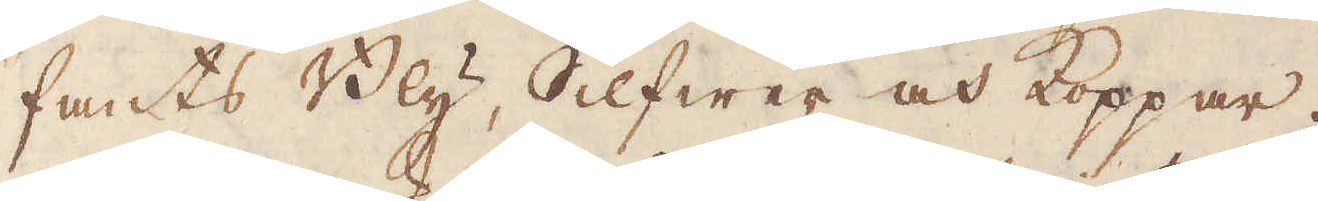fants Bly, Silfwer och Koppar.
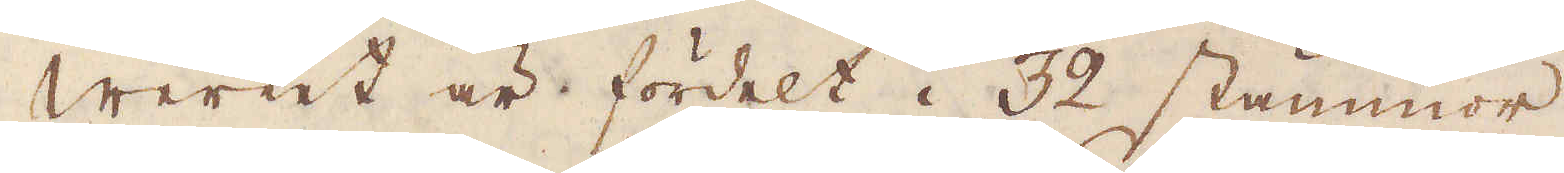Werket är fördelt i 32 stämmor,
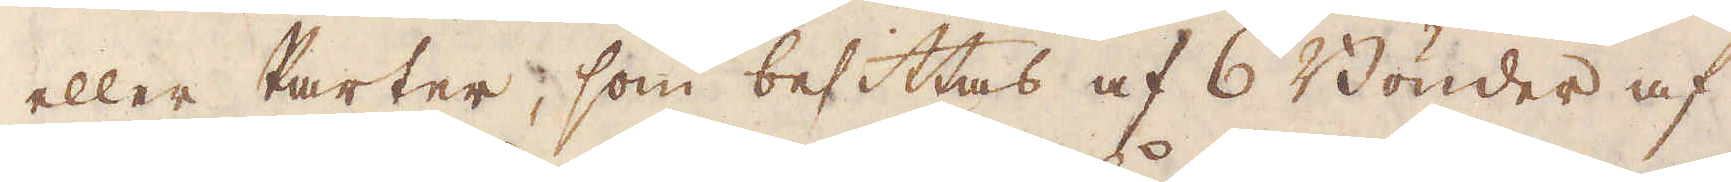eller karter, som besittas af 6 Bönder af
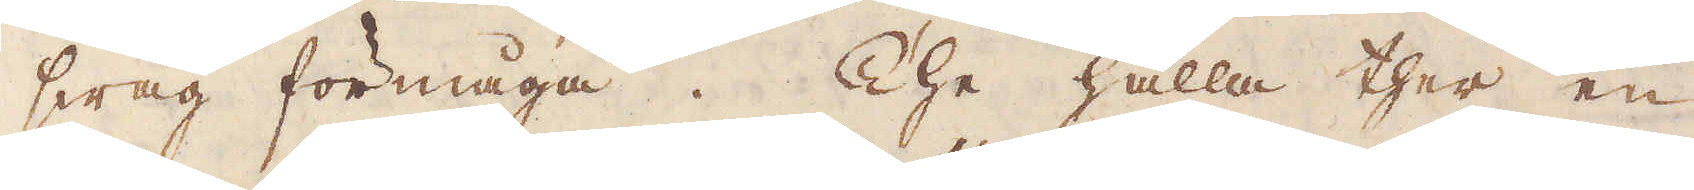swag förmåga. The hålla ther en
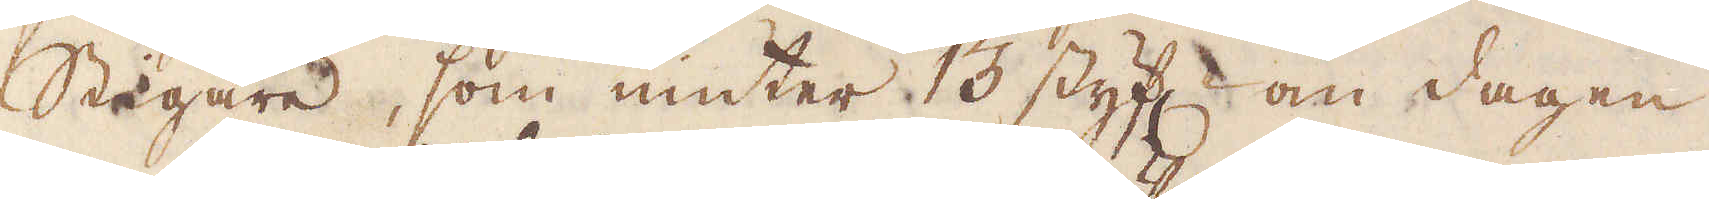Stigare, som niuter 13 styf:r om dagen
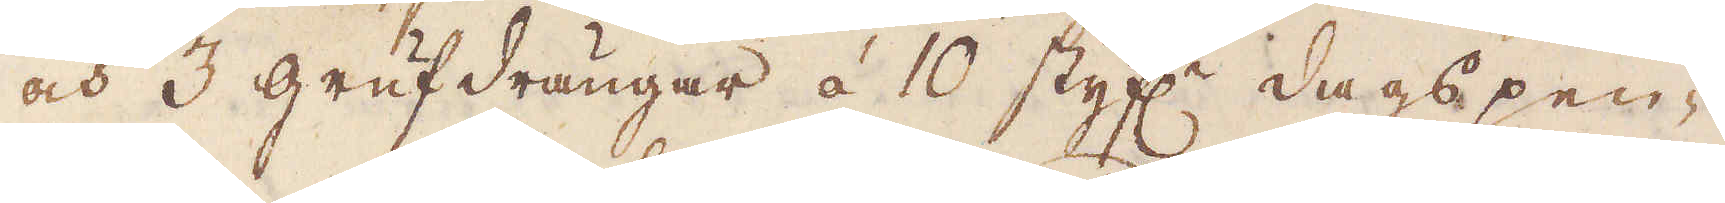och 3 grufdrängar à 10 styf:r dags pen-
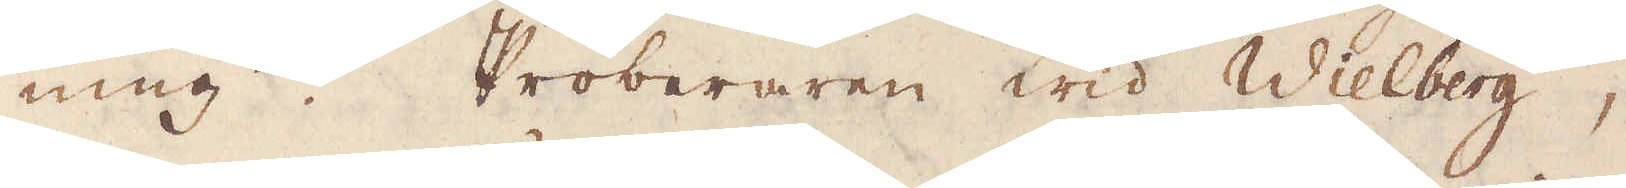ning. Proberaren wid Wielberg,
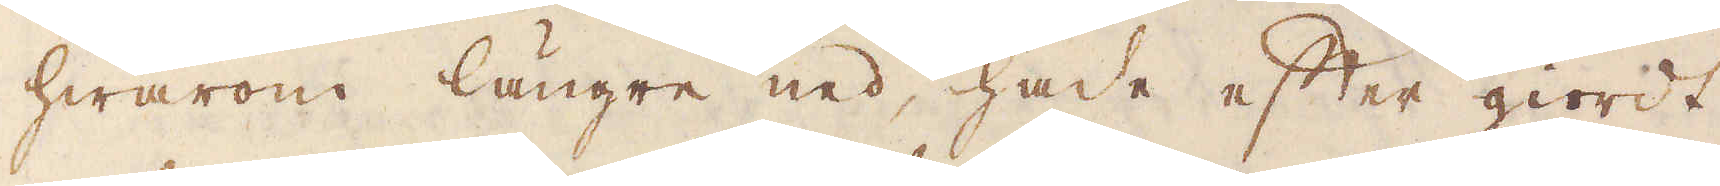hwarom längre ned, hade efter giordt
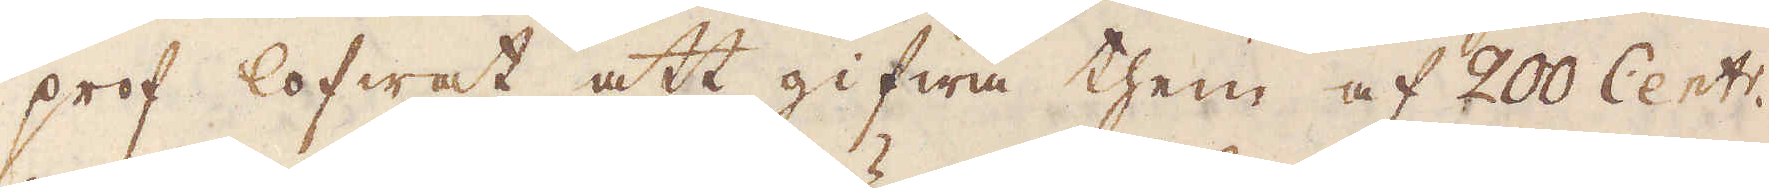prof lofwat att gifwa them af 200 Cent:r.
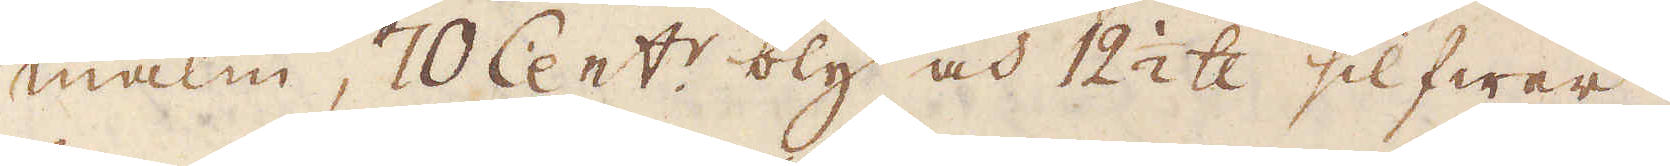malm, 70 Cent:r bly och 12 1/2 skålpund silfwer,
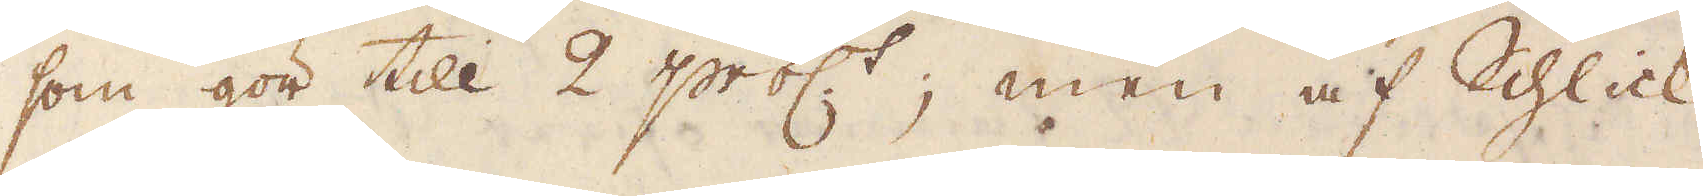som gör till 2 proc:t. men af Schlick
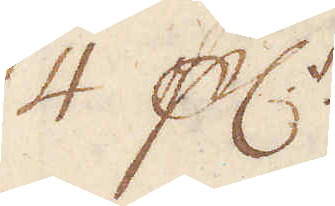4 pc:t.
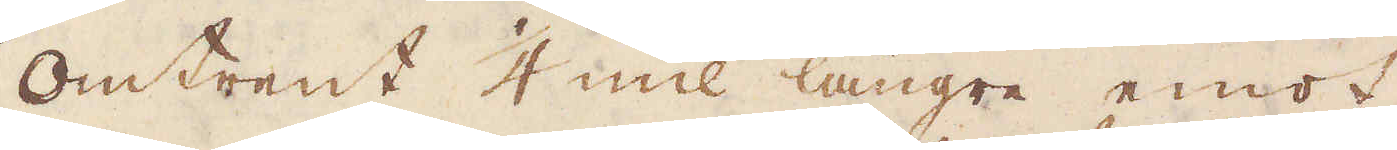Omtrent 1/4 mil längre emot
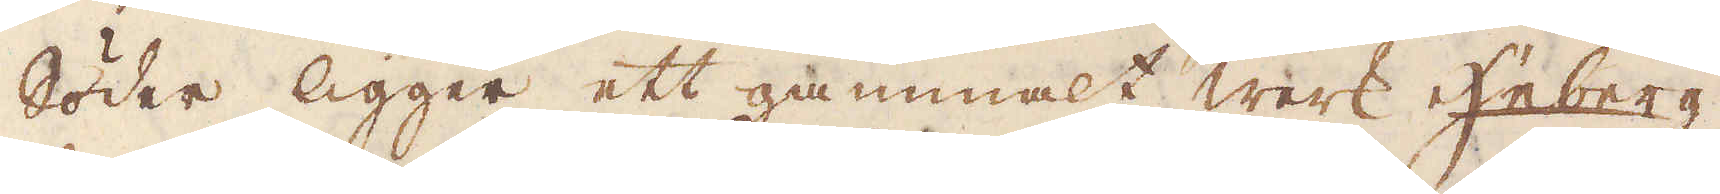Söder ligger ett gammalt werk Heberg,
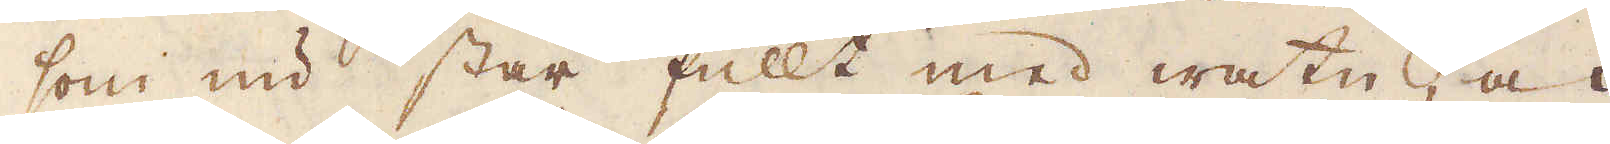som nu står fullt med watn, och
